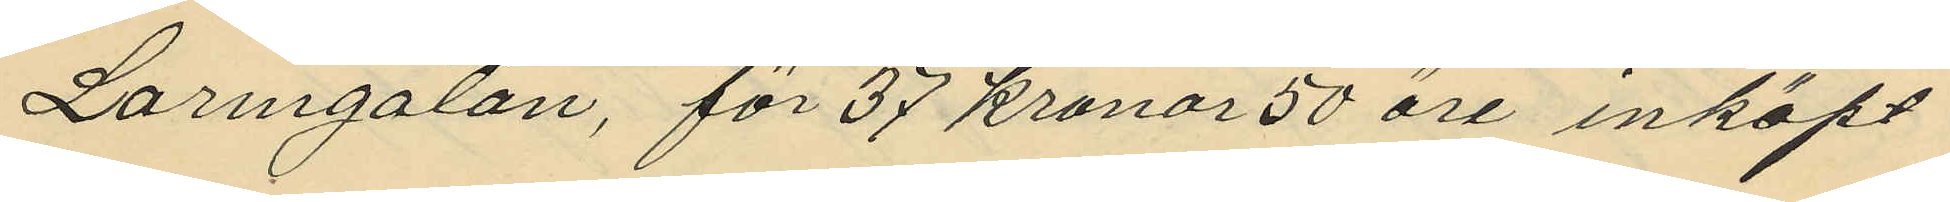Larmgatan, för 37 kronor 50 öre inköpt
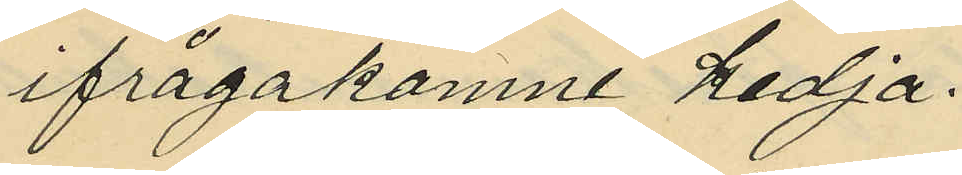ifrågakomne kedja.
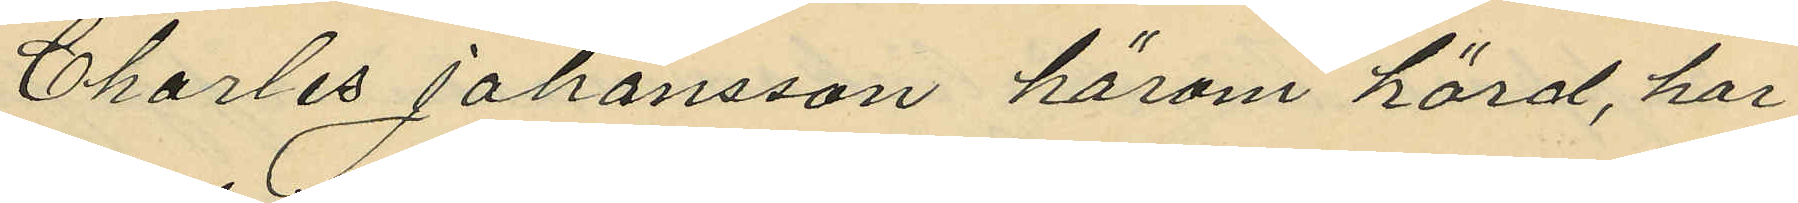Charles Johansson härom hörd, har
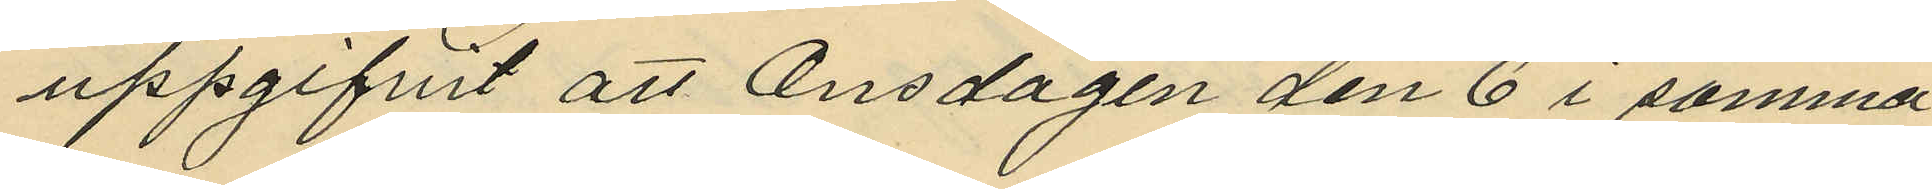uppgifvit att Onsdagen den 6 i samma
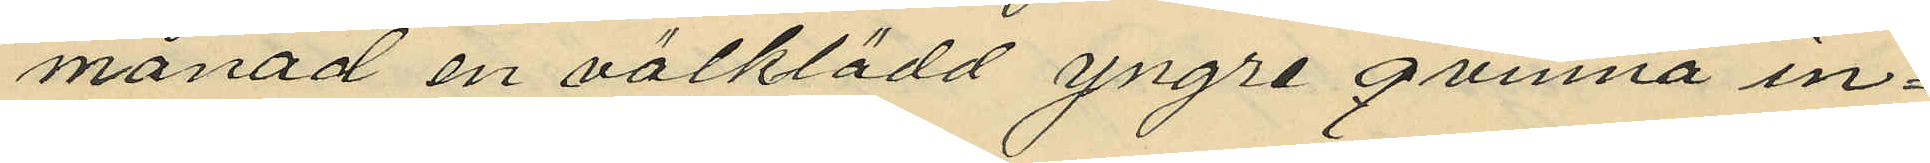månad en välklädd yngre qvinna in¬
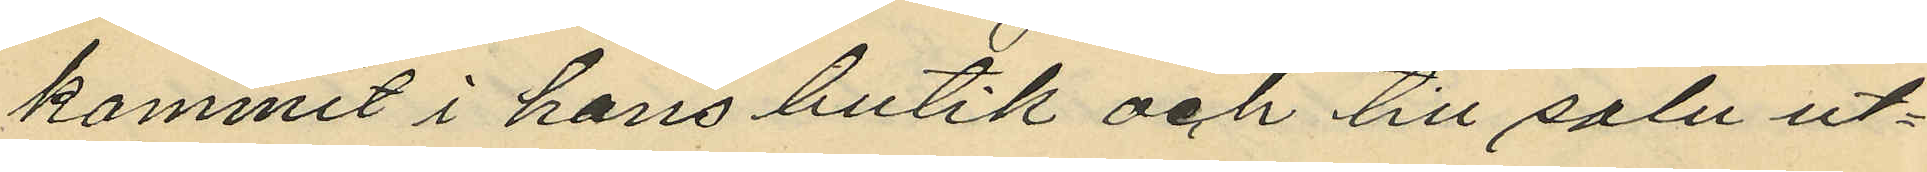kommit i hans butik och till salu ut¬
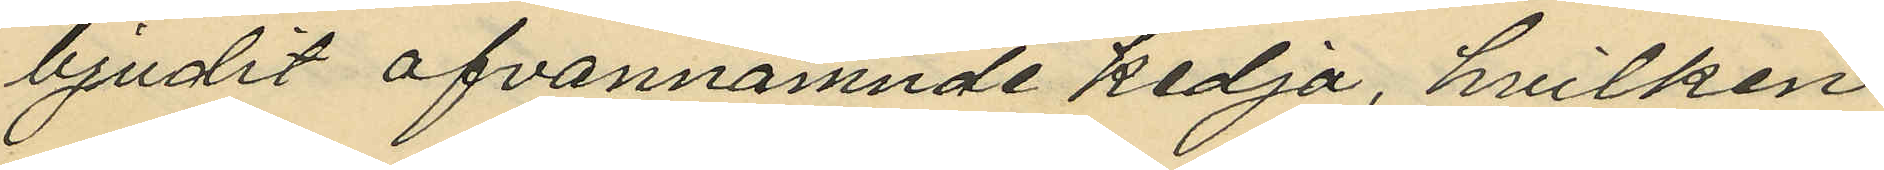bjudit ofvannämnde kedja, hvilken
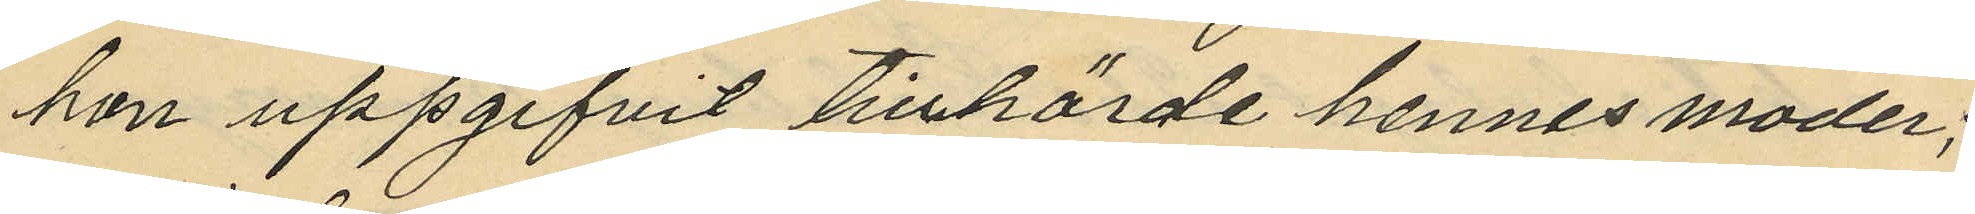hon uppgifvit tillhörde hennes moder;
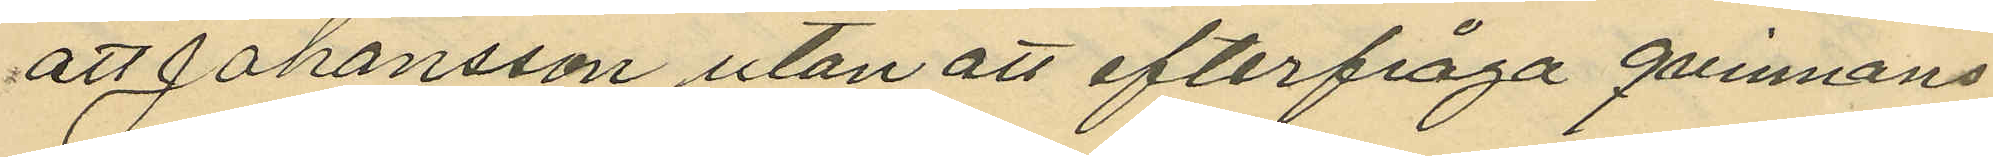att Johansson utan att efterfråga qvinnans
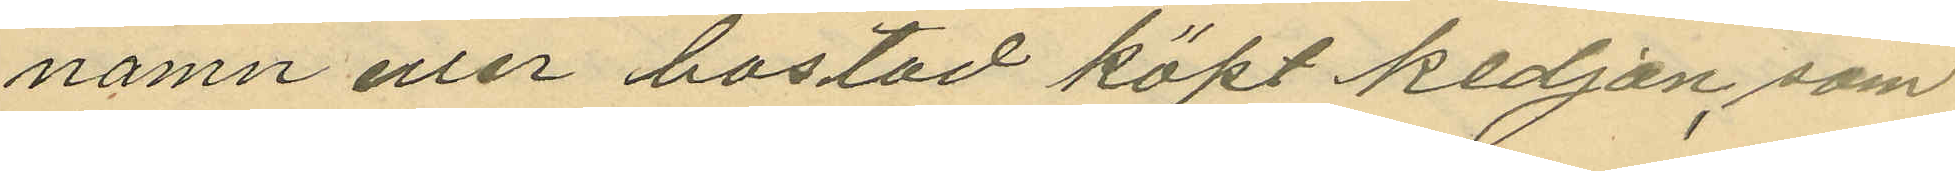namn eller bostad köpt kedjan, som
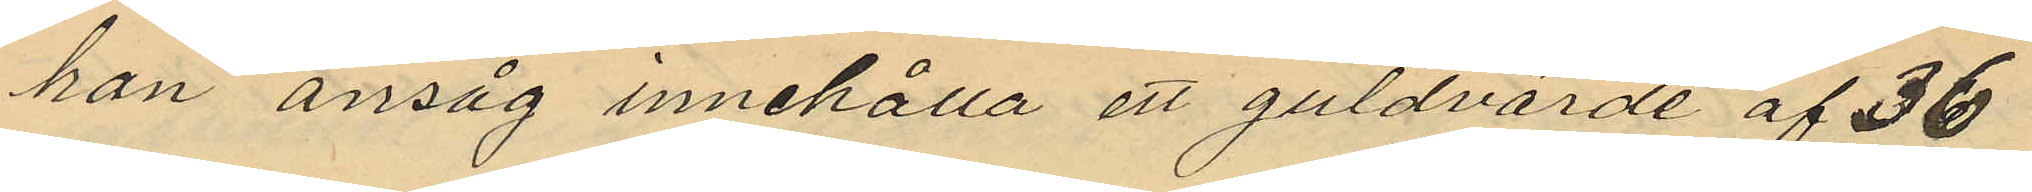han ansåg innehålla ett guldvärde af 36
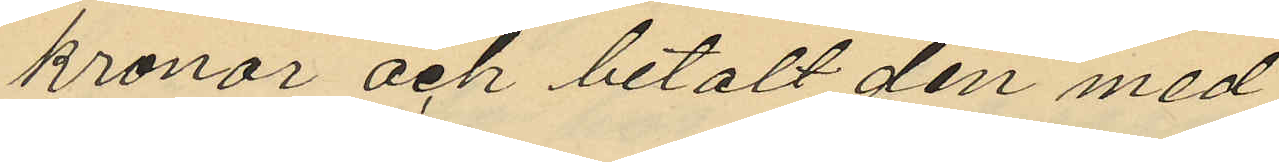kronor och betalt den med
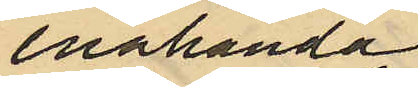enahanda
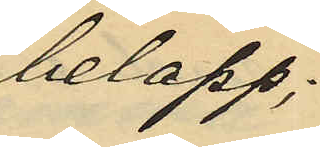belopp;
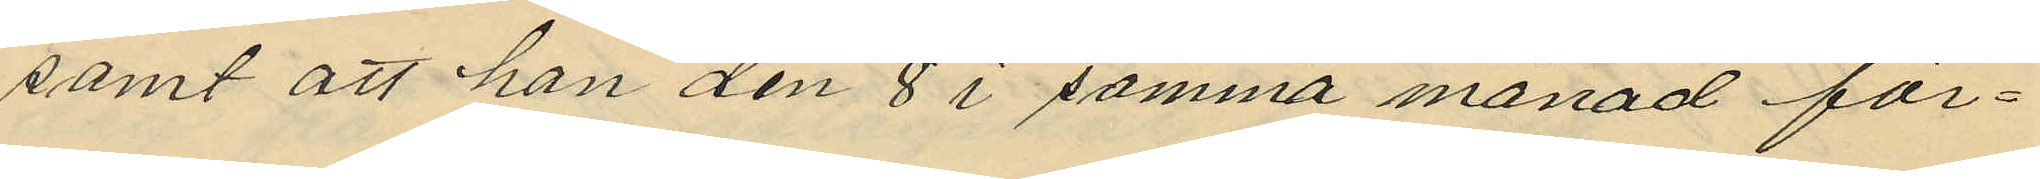samt att han den 8 i samma månad för¬
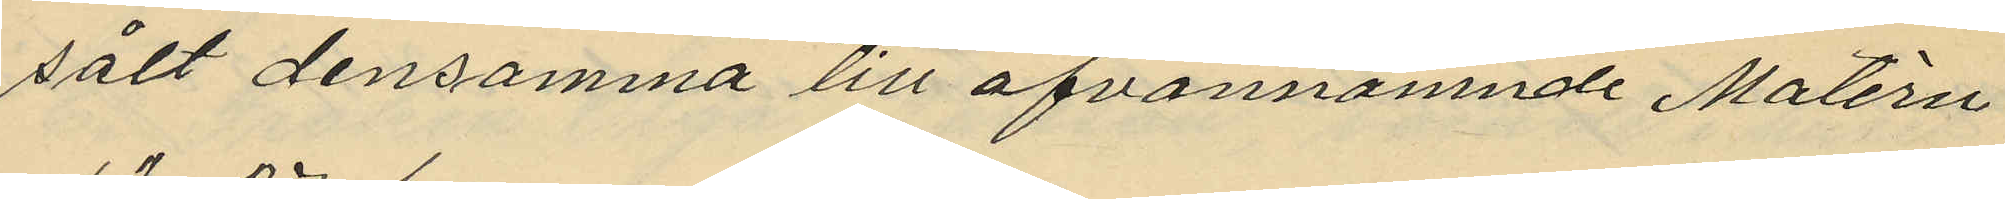sålt densamma till ofvannämnde Matérn
